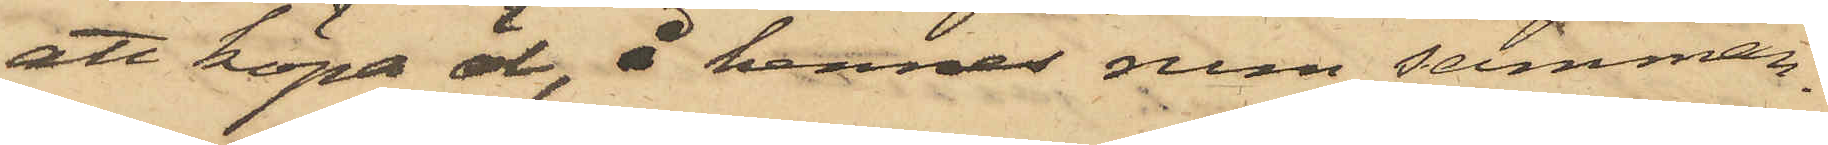att köpa öl, i hennes rum samman¬
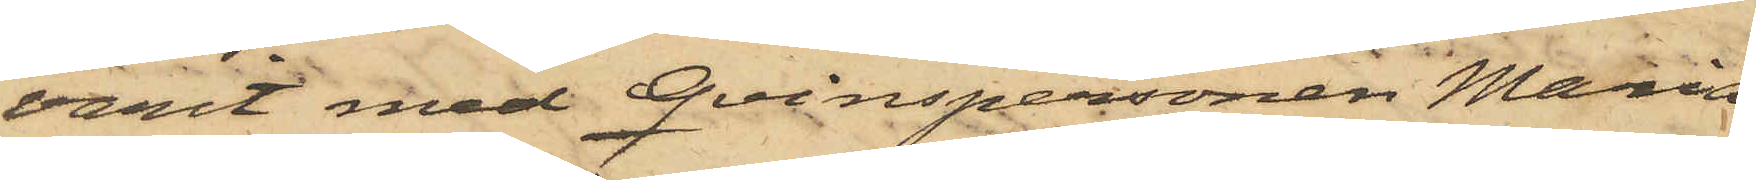varit med qvinspersonen Maria
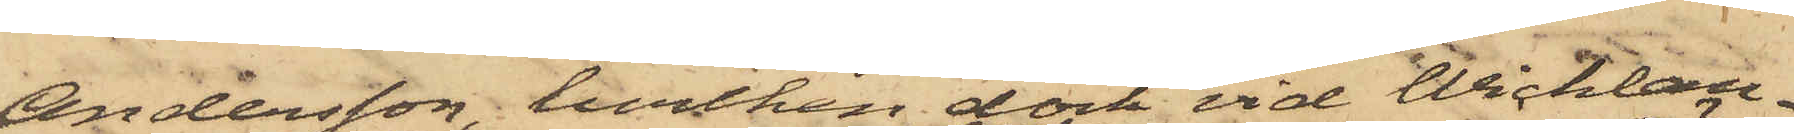Andersson, hvilken dock vid Wicklan¬
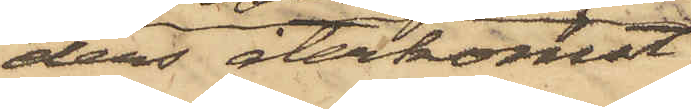ders återkomst
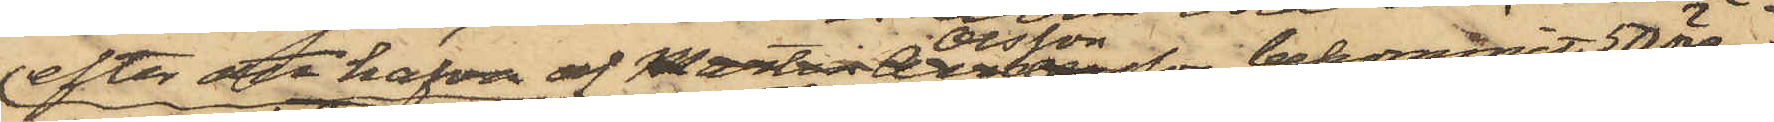efter att hafva af Martin Olsson bekommit 50 öre
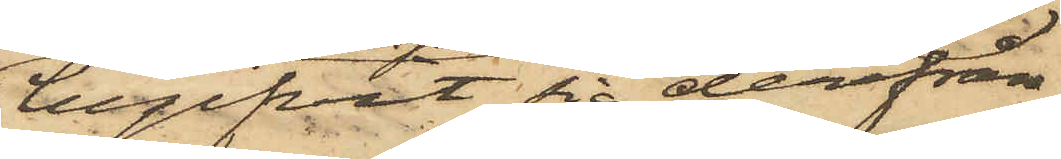begifvit sig derifrån,
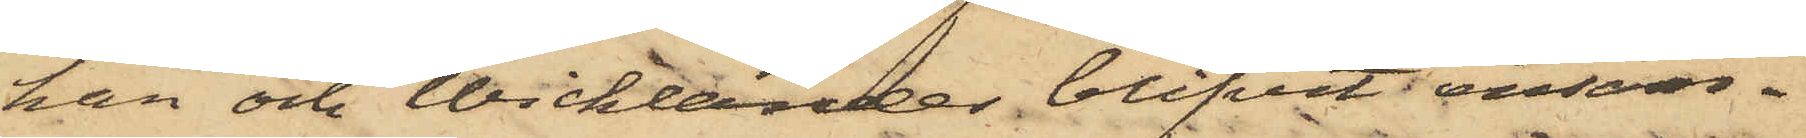han och Wicklander blifvit ensam¬
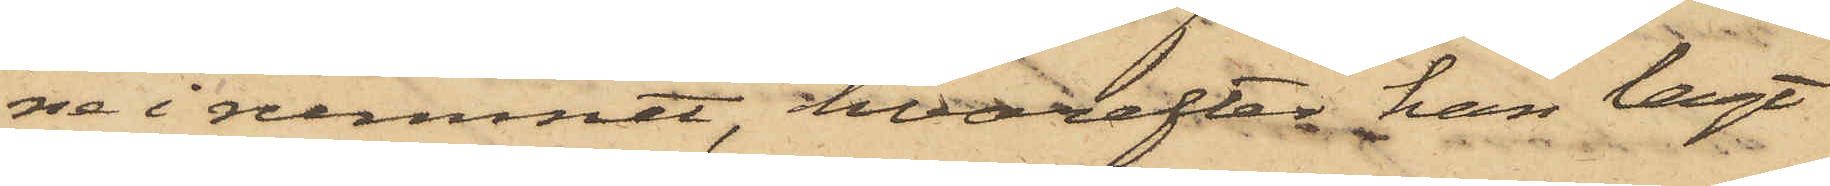ne i rummet, hvarefter han lagt
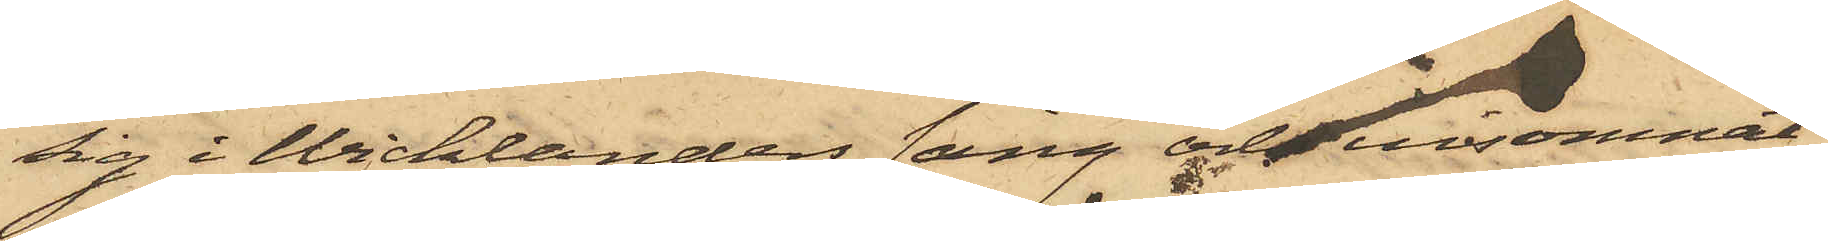sig i Wicklanders säng och insomnat,
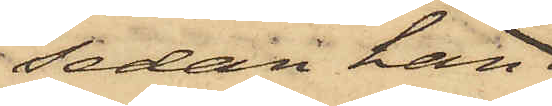sedan han
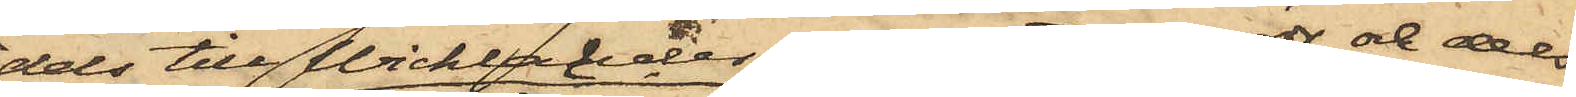dels till Wicklander erlagt en rdr och dels
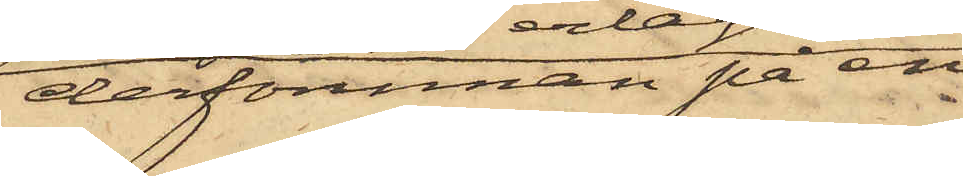derförinnan på en
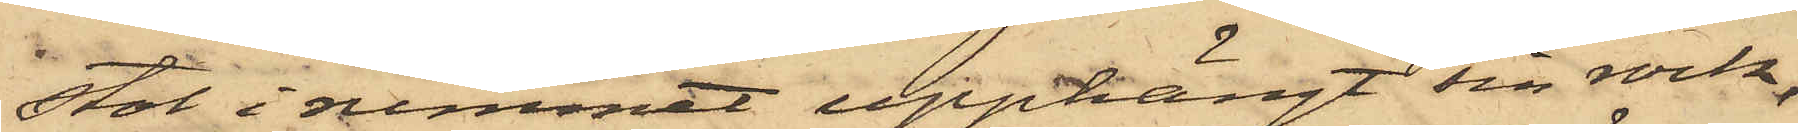stol i rummet upphängt sin rock,
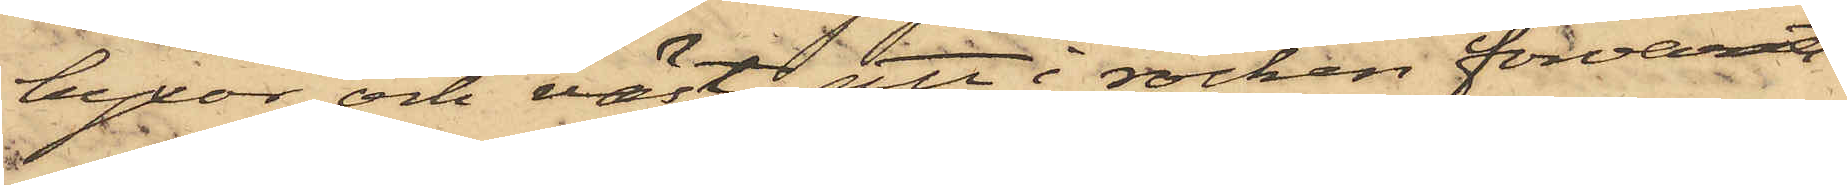byxor och väst; att i rocken förvarats
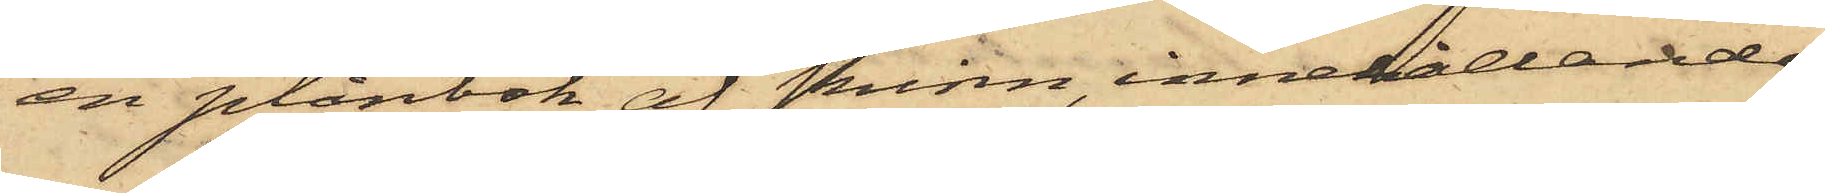en plånbok af skinn, innehållande
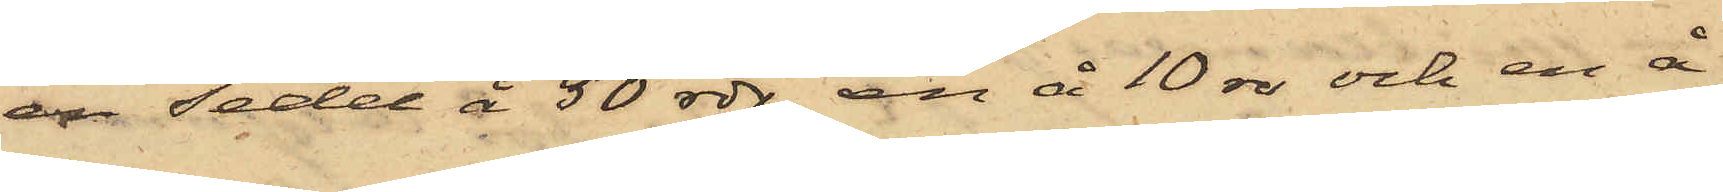en sedel å 50 rdr, en å 10 rdr och en å
